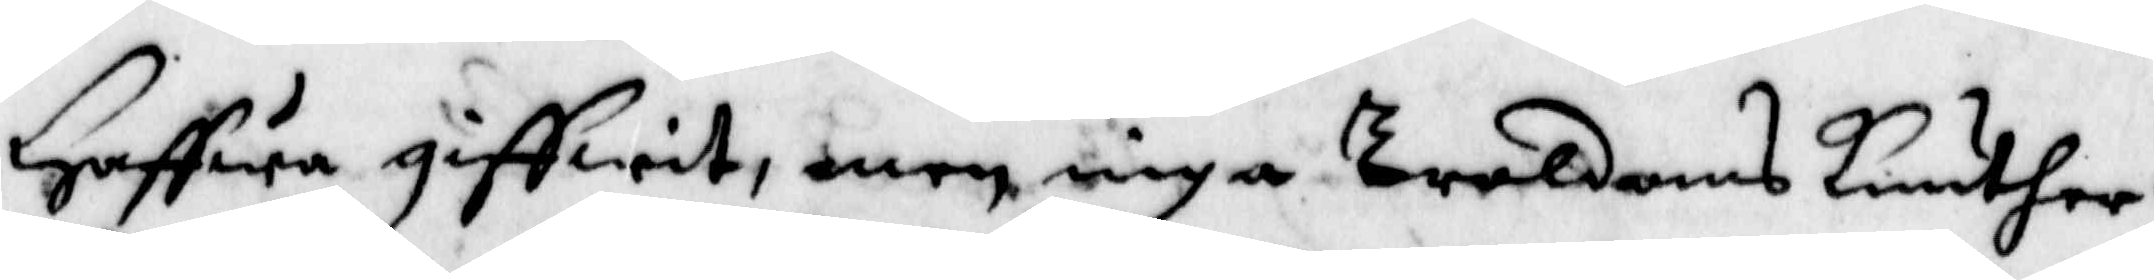Haffwa giffwit, men inga Troldoms kunsther.
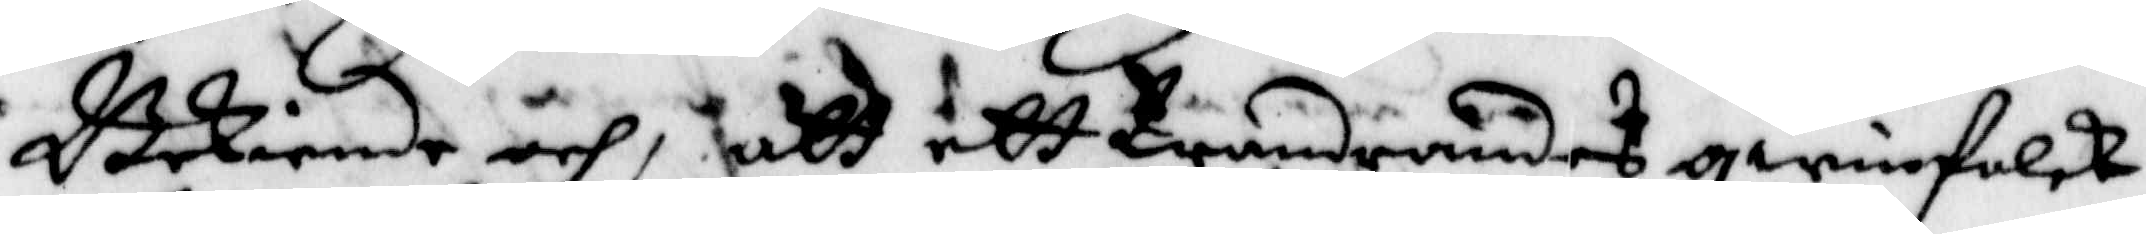Bekiende åhr, att ett Wandrandes qwinnfolck
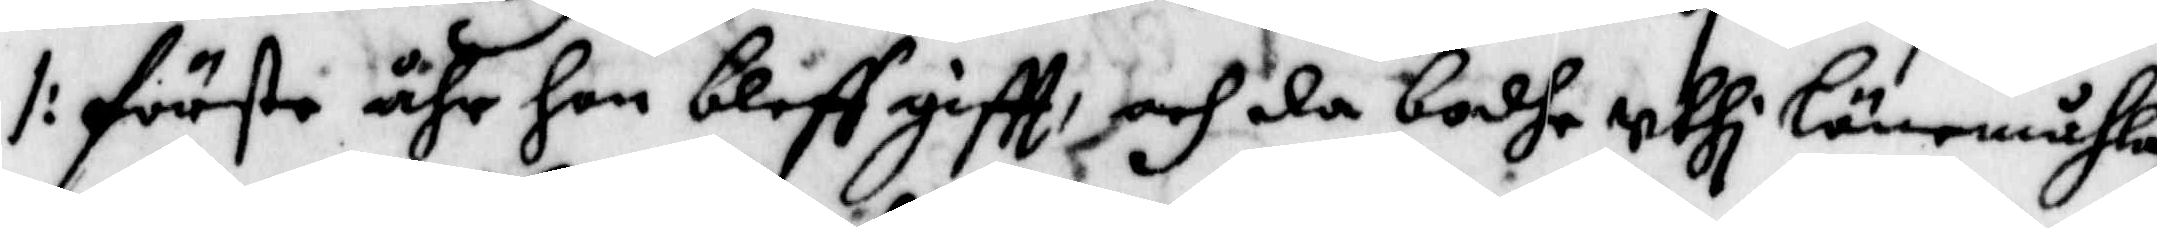/: Förste åhr hon bleff giftt, och da bodhe uthi Lönemåhla
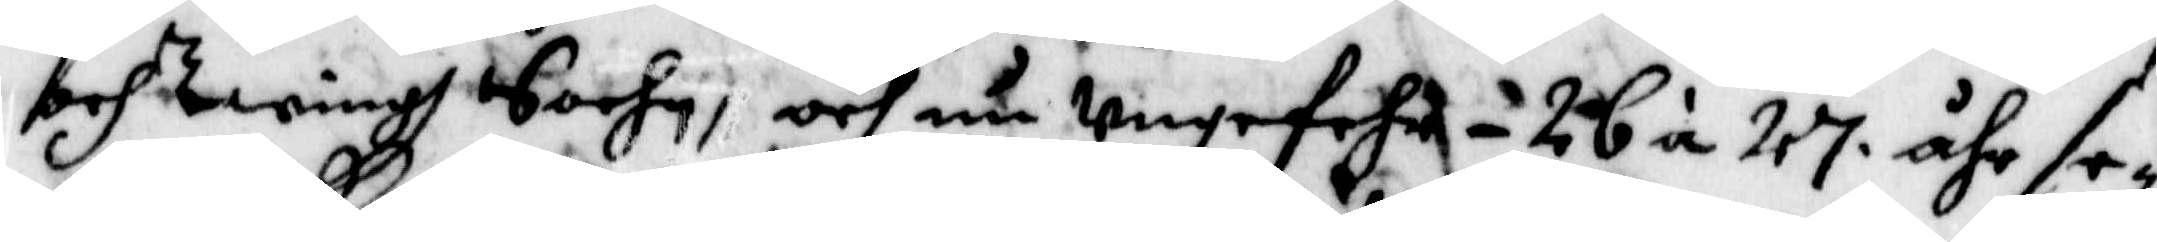och Zwingh Sockn, och nu ungefehr - 26 á 27 åhr se¬
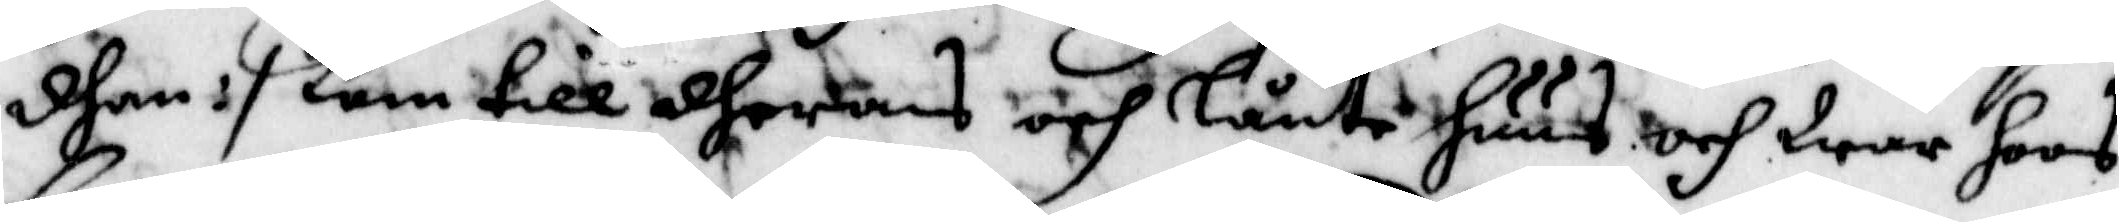dhan :/ kom till dheras och Lånte Huus och War hoos
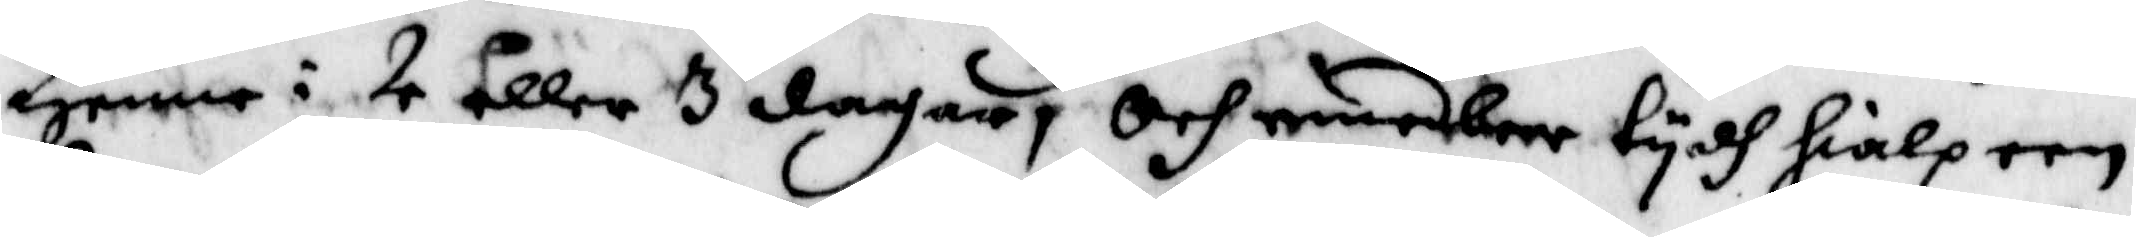Henne i 2 eller 3 dagar, Och emedleer tydh hialp een
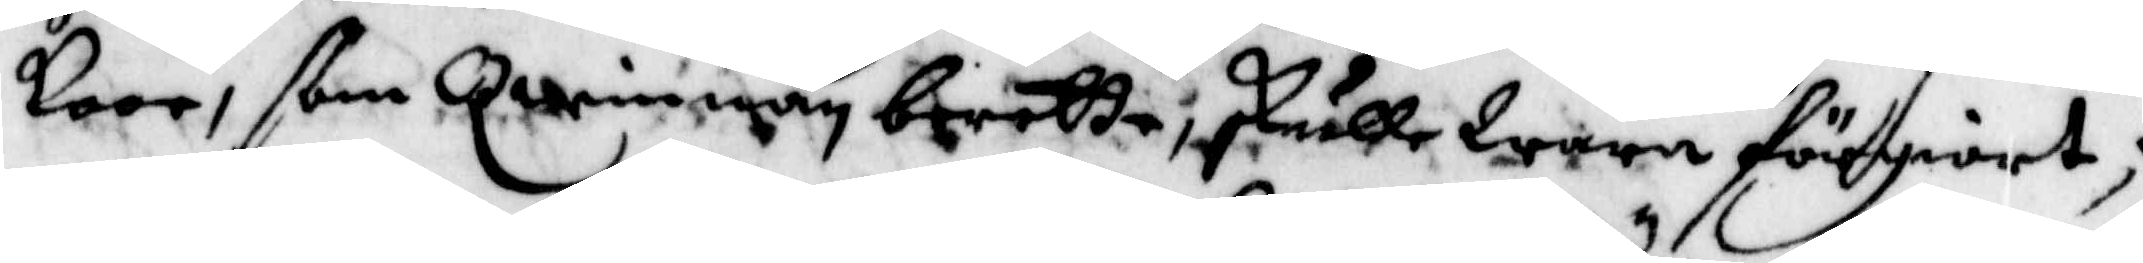koor, ßom Qwinnan berette, skulle Wara flrgiort;
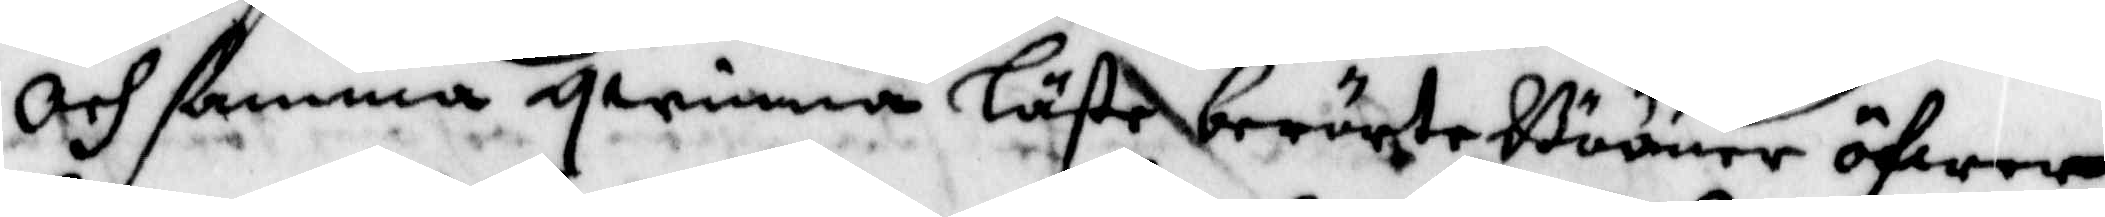Och ßanna qwinna Läste berörte Bööner öfwer
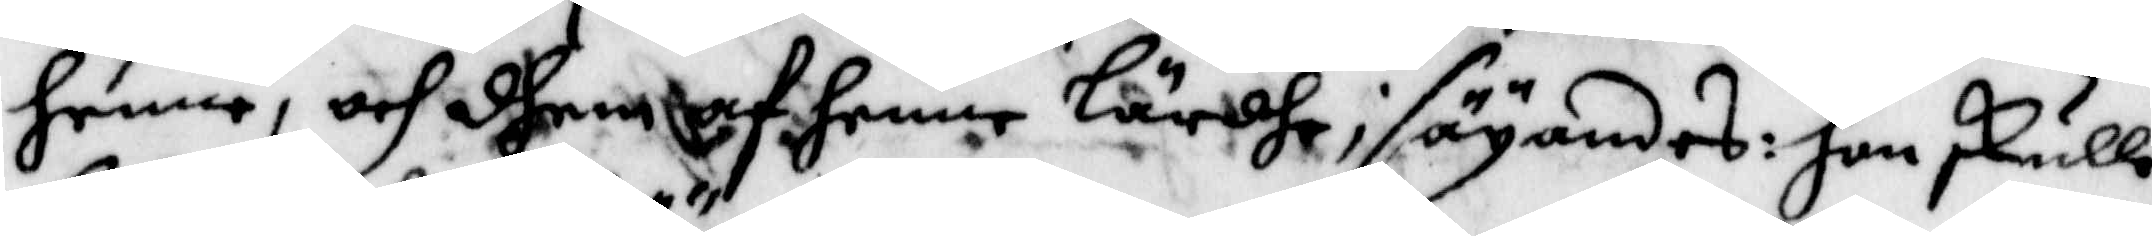henne, och dhen af henne Lärdhe; säyandes: hon skulle
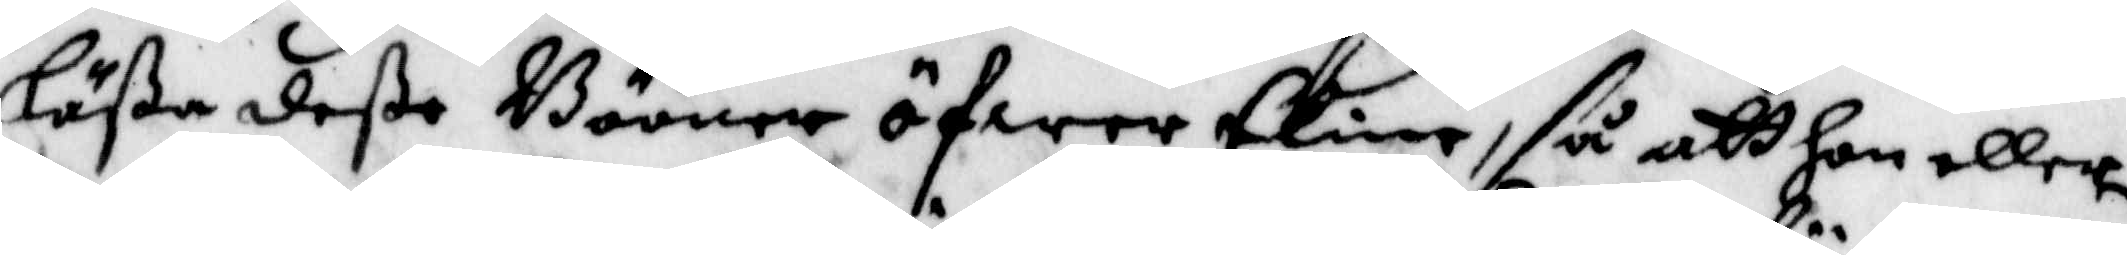Läßa deße Bööner öfwer Elin, så att hon eller
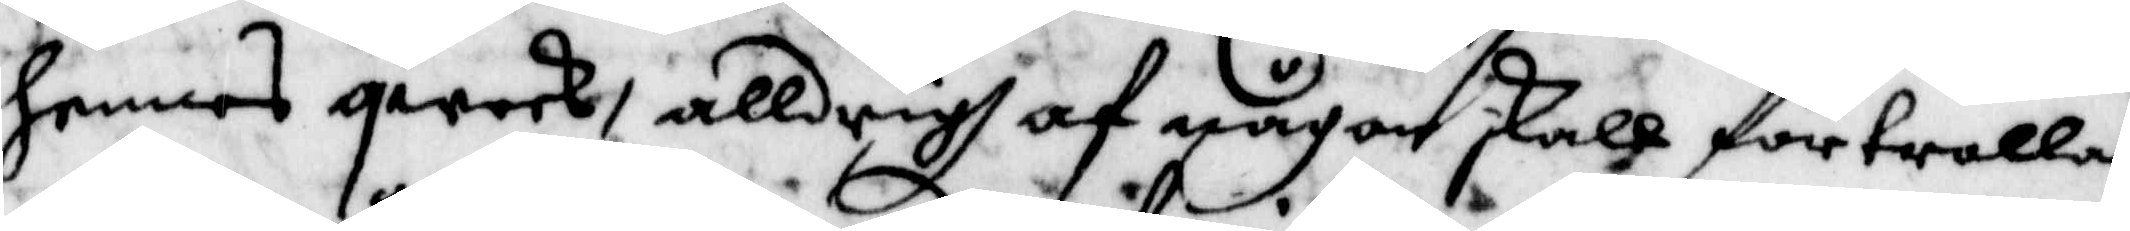hennes qweck, alldrigh af någon skall förtrollas
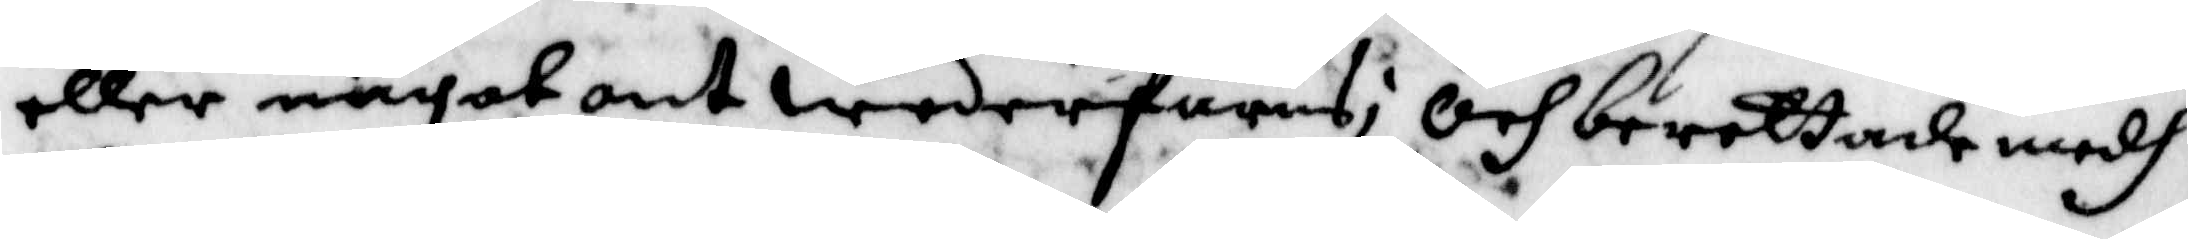eller något ont wederfaris; Och berettade medh
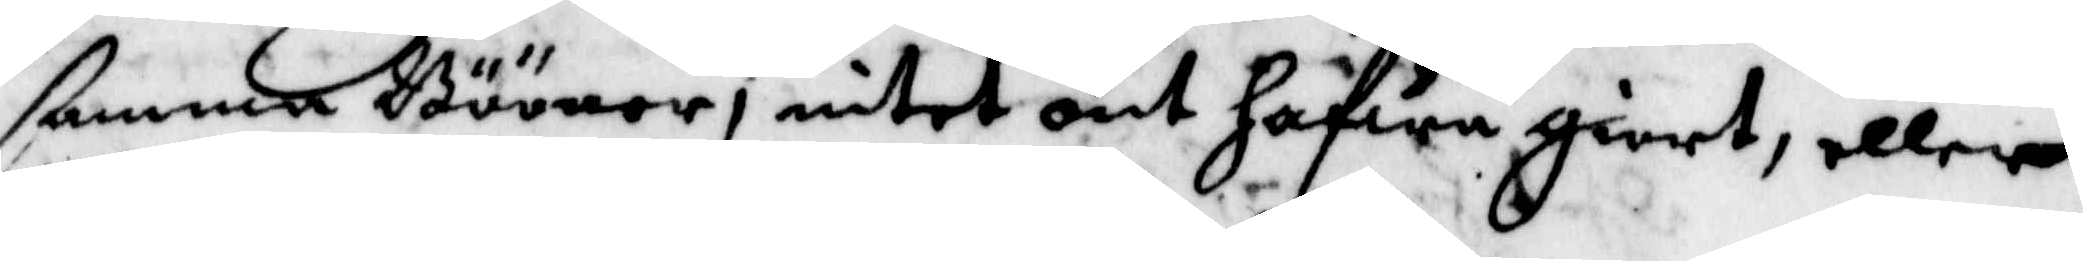ßanna Bööner, intet ont hafwa giort, eller
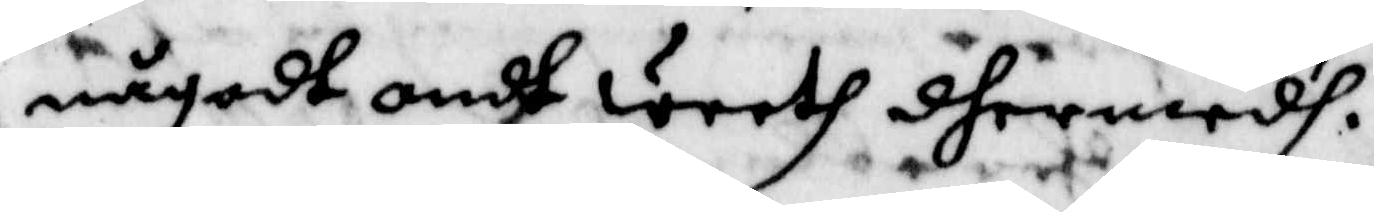något ondt Weeth dhermedh.
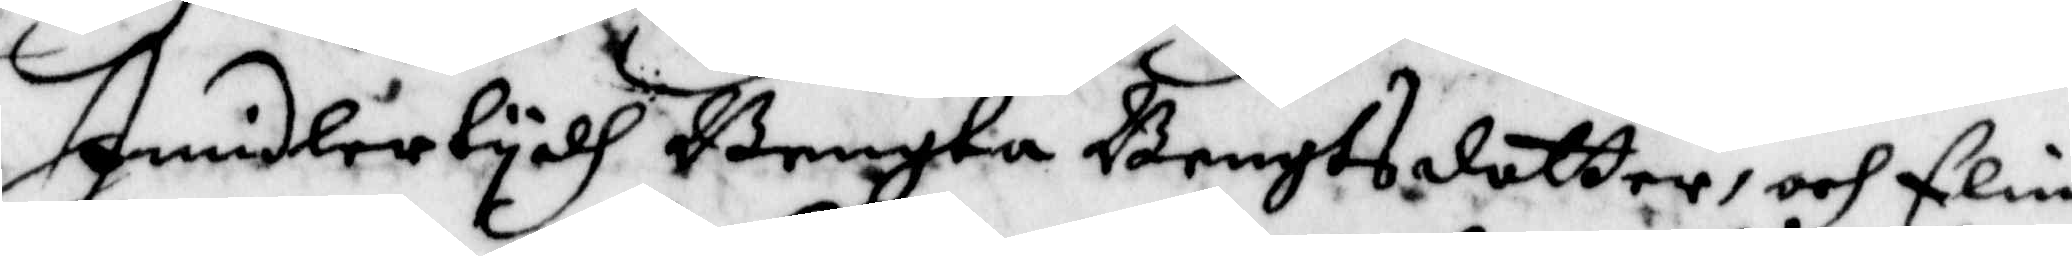Imidlertydh Bengta Bengtsdotter, och Elin
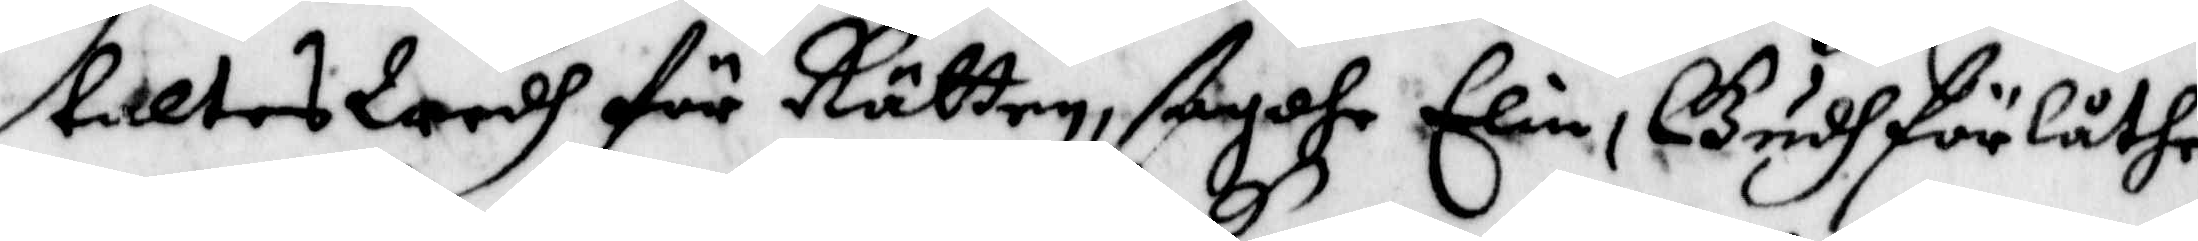taltes Wedh för Rätten, ßagdhe Elin, Gudh förlåthe
